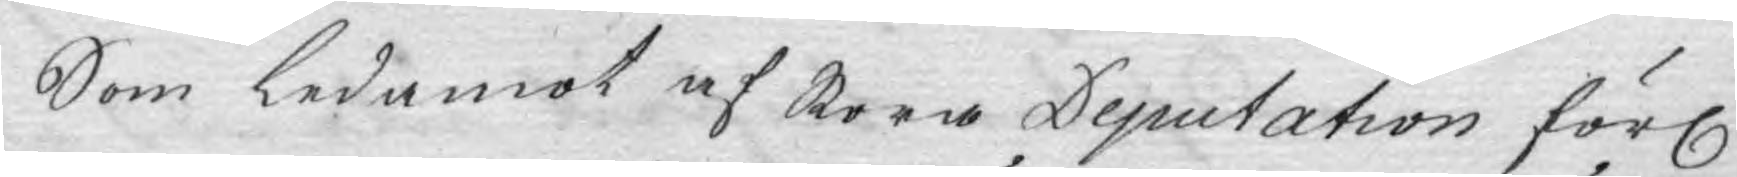Som ledamot af Stora Deputation förl.
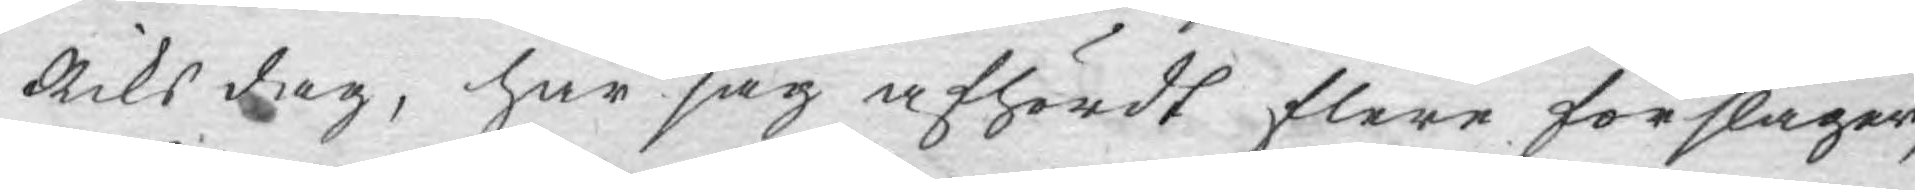Riks dag, har jag afhördt flere förslager,
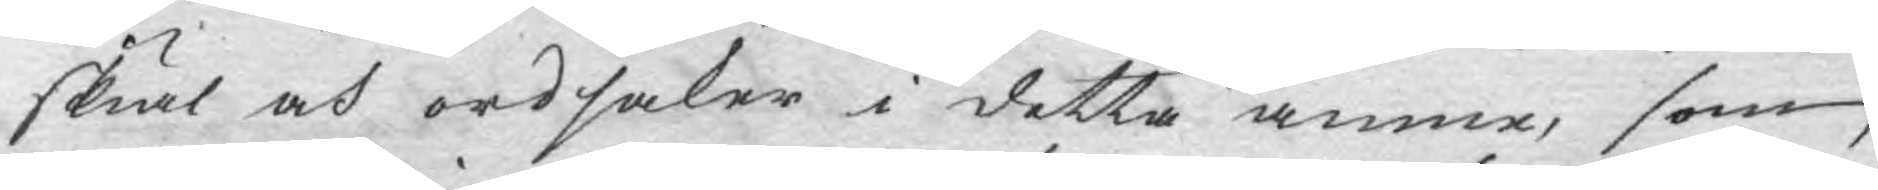skiäl och ordsaker i detta ämne, som
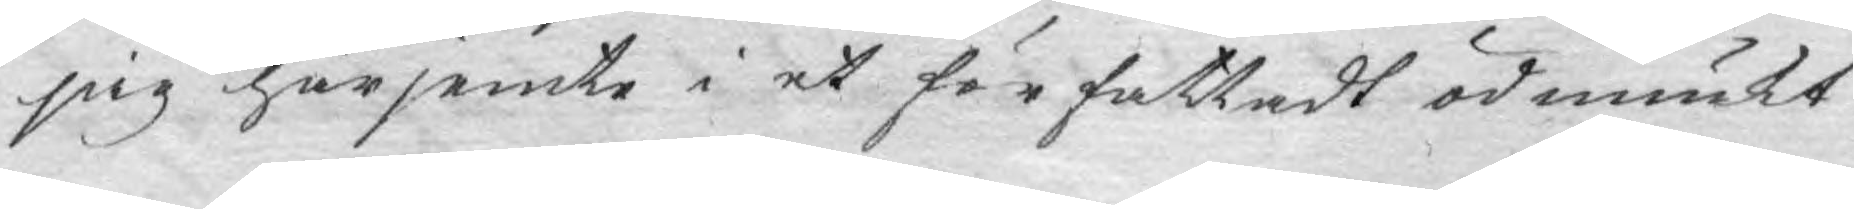sig härjemte i et författadt ödmiukt
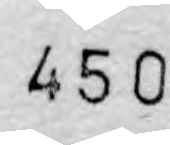450
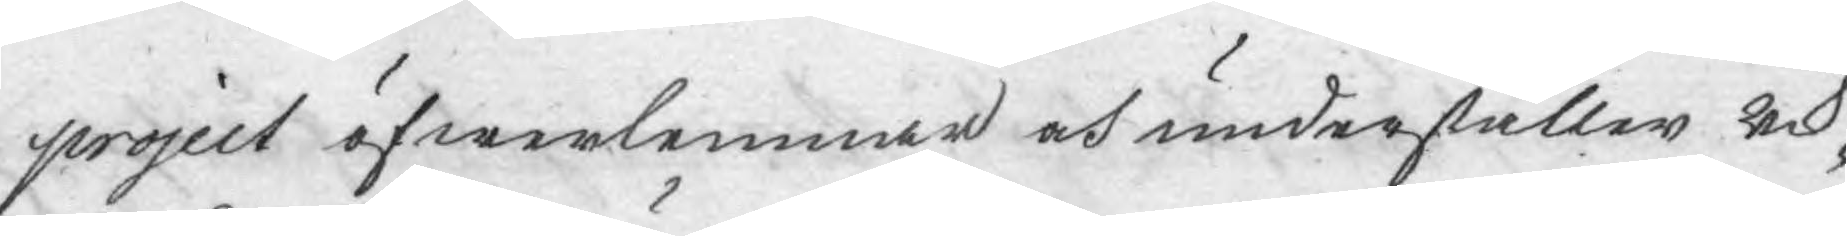project öfwerlemnar och underställer Rik¬
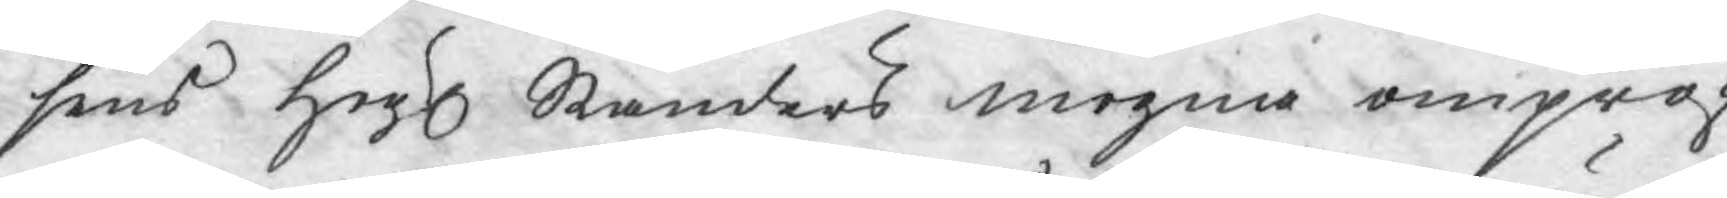sens Högl. Ständers mogna ompröf¬
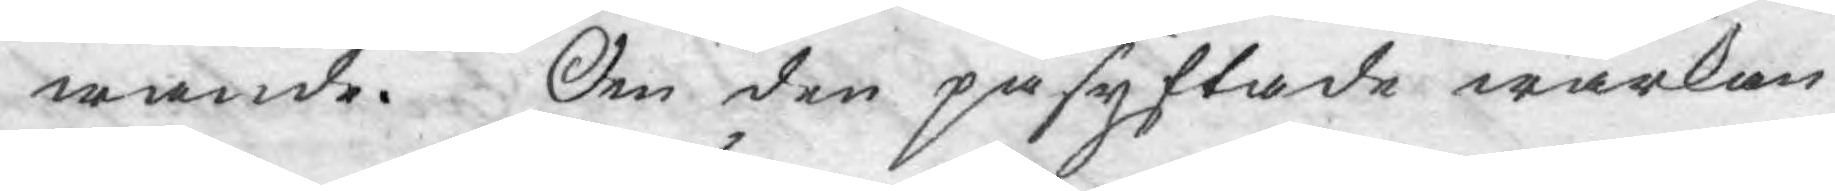wande. Om den påsyftade wärkan
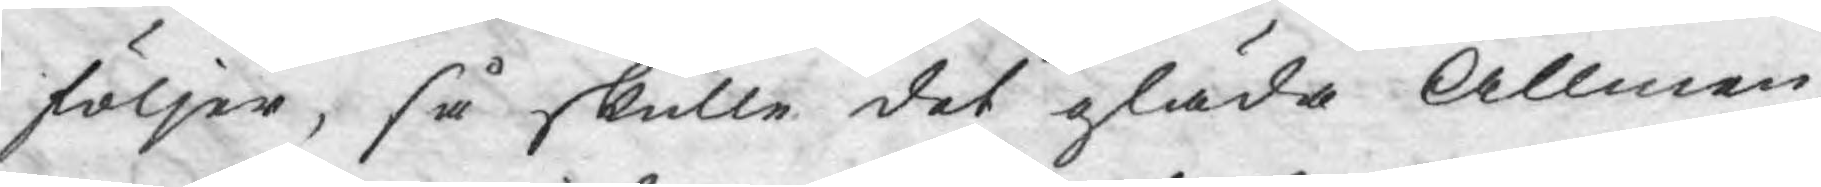följer, så skulle det gläda Allmen¬
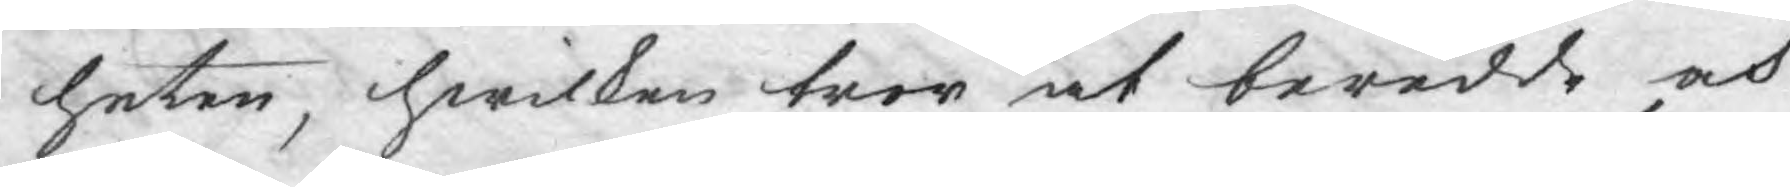heten, hwilken tror at beredde och
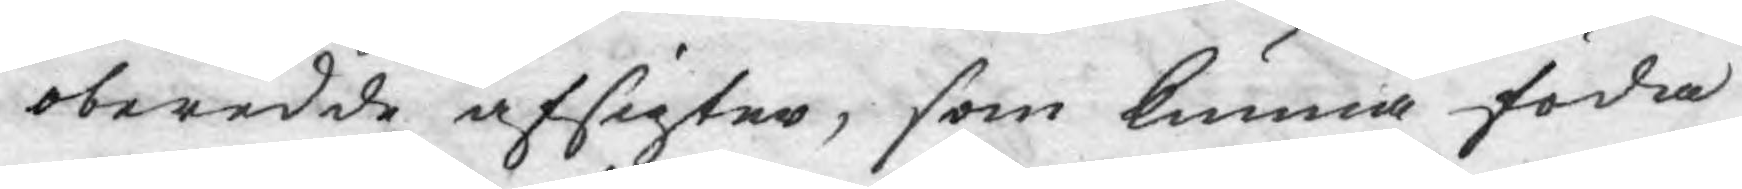oberedde afsigter, som kunna föda
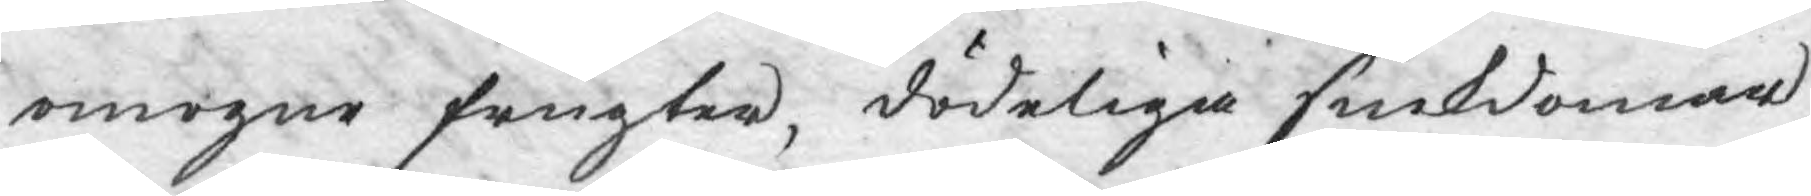omogne frugter, dödeliga siukdomar,
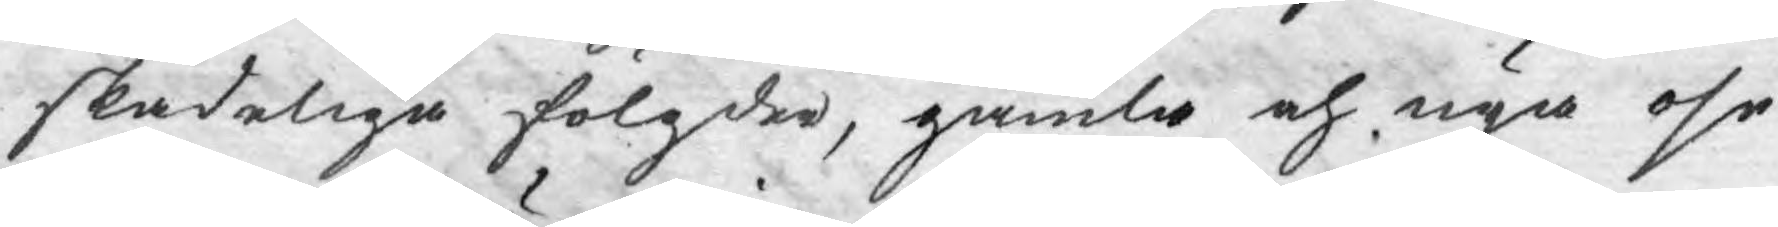skadeliga fölgder, gamla och nya ose¬
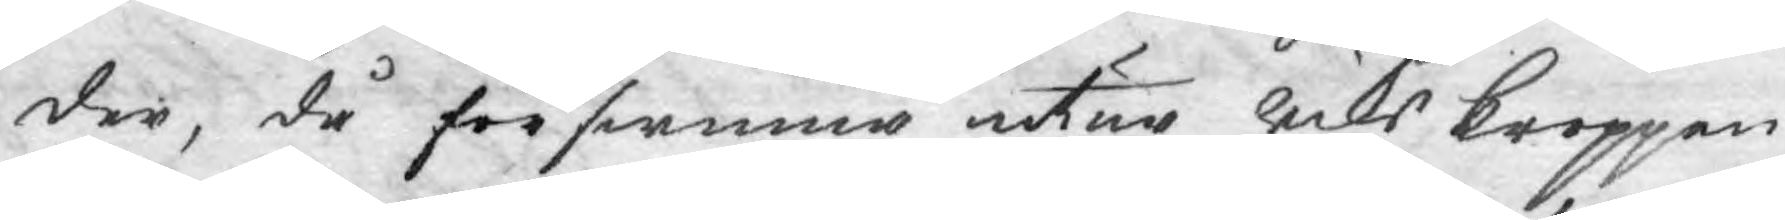der, då förswinna utur Riks kroppen
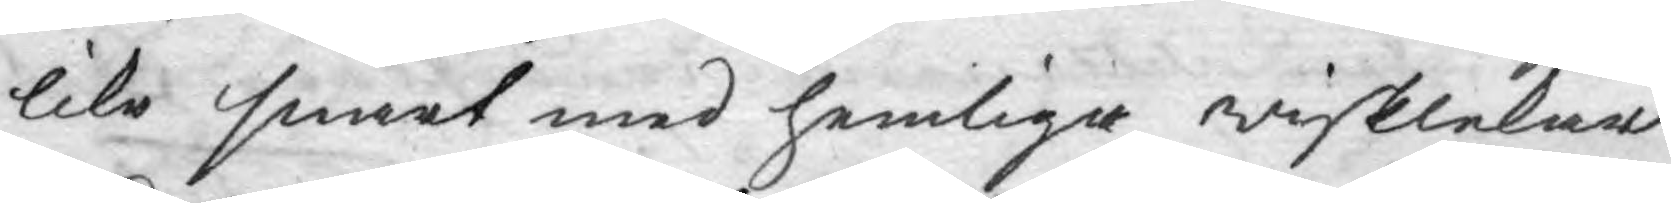lika snart med hemliga wisklekar.
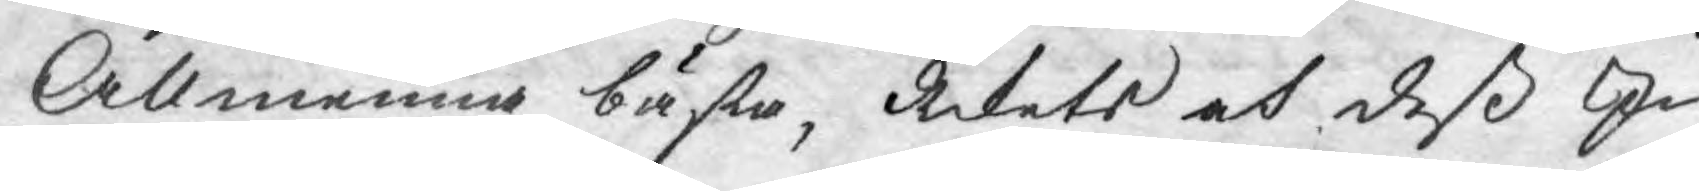Allmenna bästa, Rikets och deß In¬
